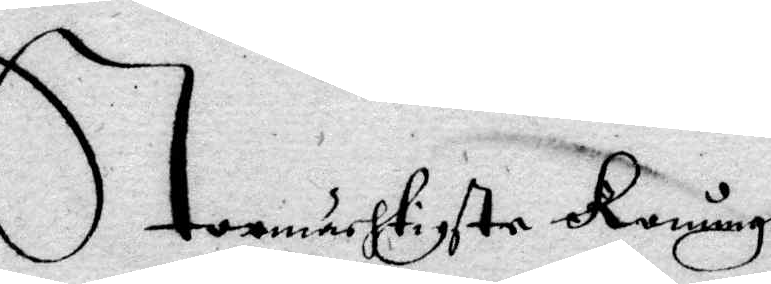Stormächtigste Konung
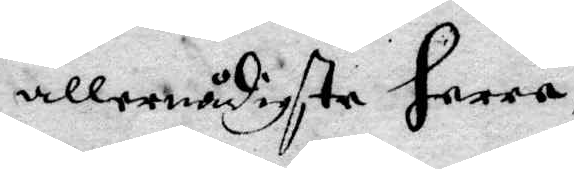allernådigste Herre,
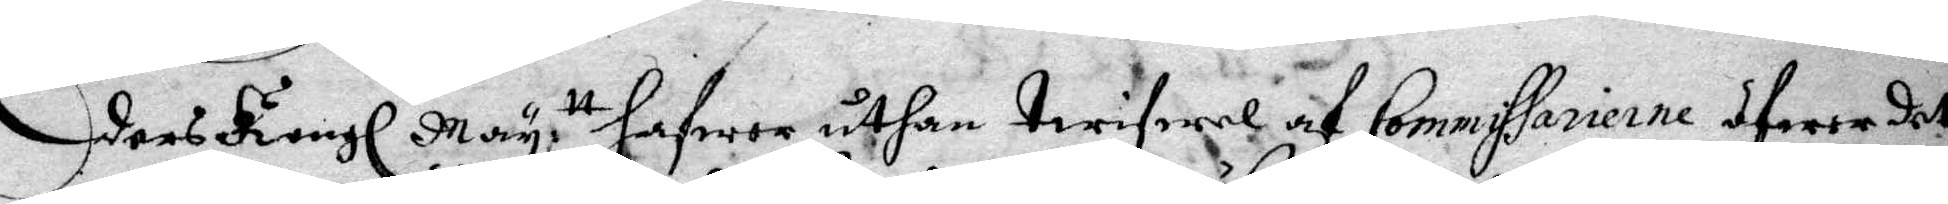Eders Kongl May.tt hafwer uthan twifwel af Commissarierne öfwer det
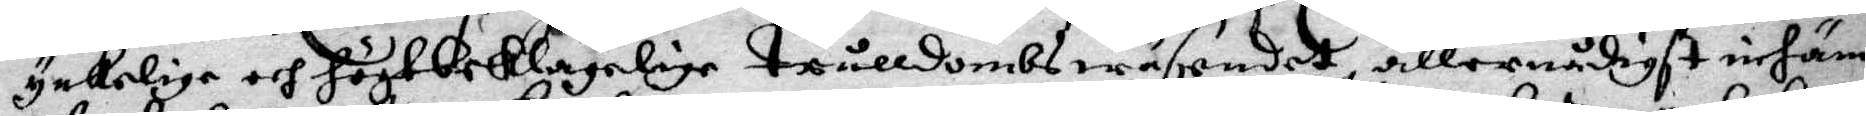ynkelige och högtbeklagelige Trålldombswäsendet, allernådigst inhäm¬
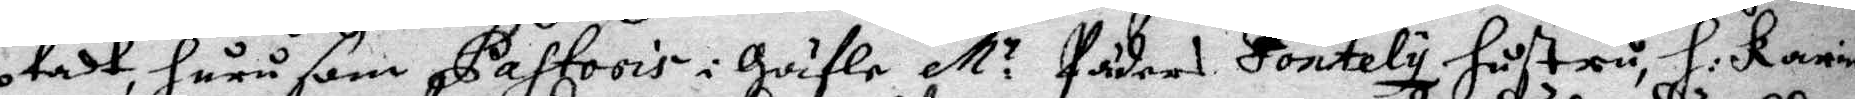ptadt, huru som Pastoris i Gäfle M:r Peders Fontely hustru, H: Karin
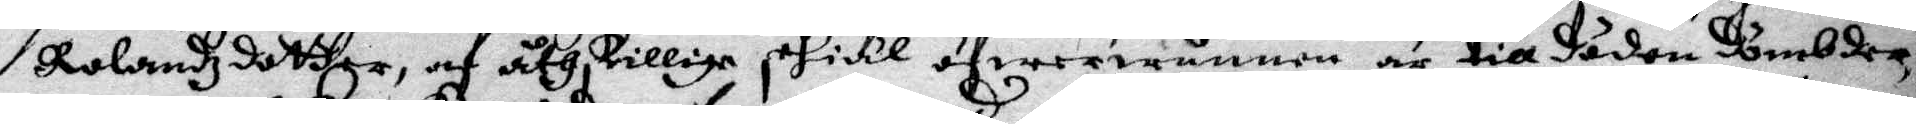Rolnadzdotter, af åtskillige skiäl öfwerwunnen är till döden dömbder
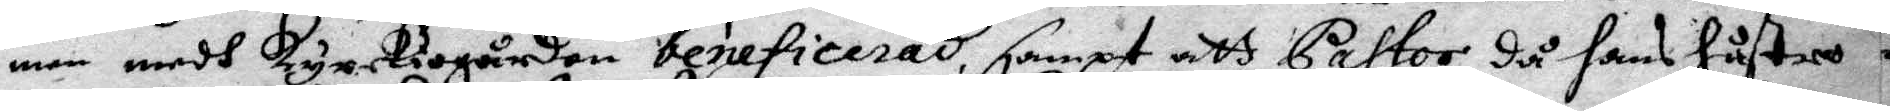men medh kyrkiogården beneficerad, sampt att pastro, då hans hustru
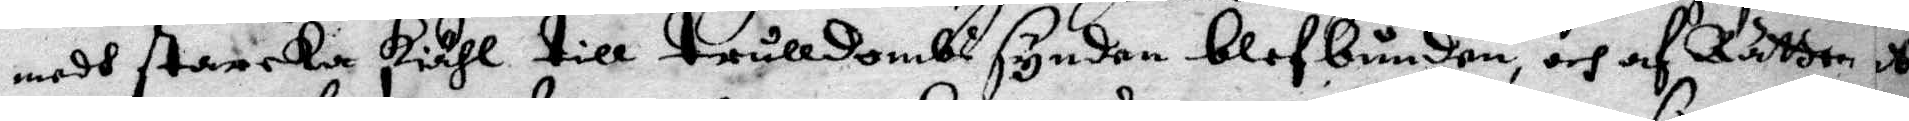med starcka skiäl till trålldoms synden blef bunden, och af Rätten
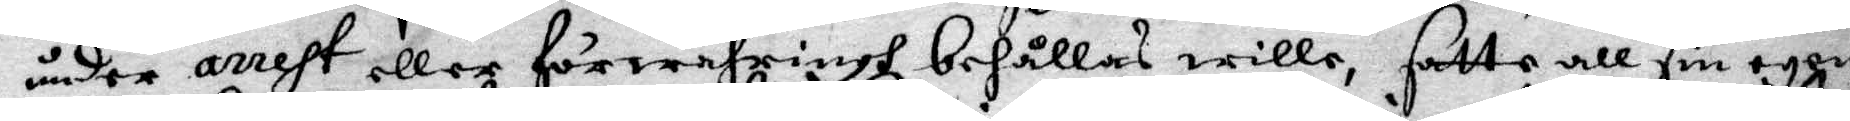under arrest eööer förwarhrings behållas wille, satte all sin egen¬
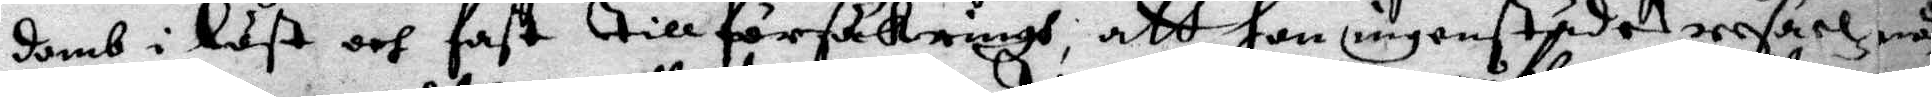domb i löst och fast till försäkrings, att hon ingenstädes resa el¬
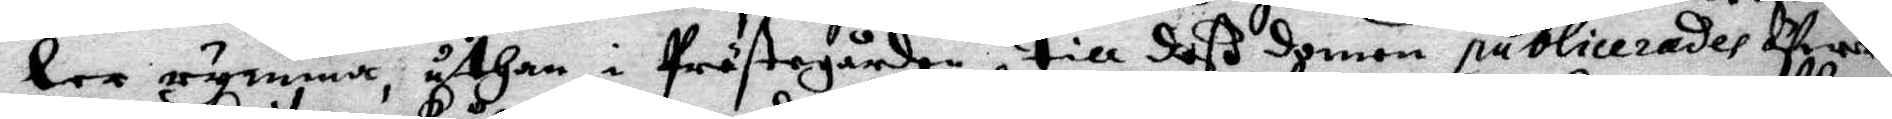ler rymma, uthan i prsästegården till deß domen publicerades öfwer
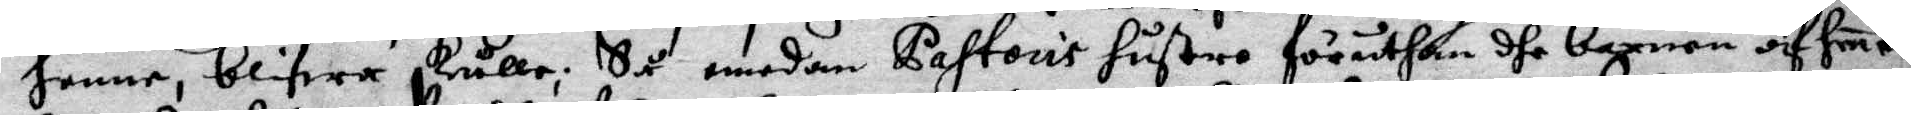henne, blifwa skulle; Så medan Pastoris hustru föruthan dhe barnen af hene
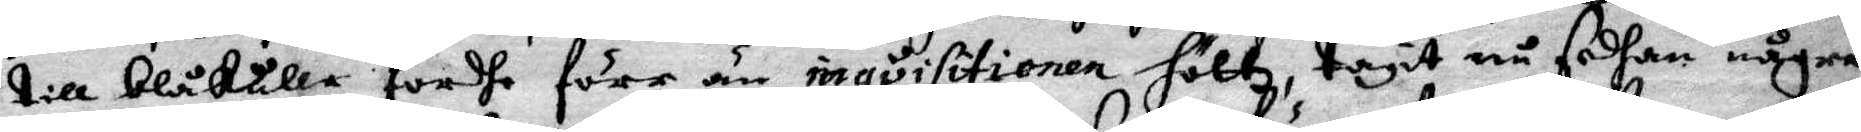till blåkulla fördhe förr än inqvisitionen höltz, tagit nu sedhan några
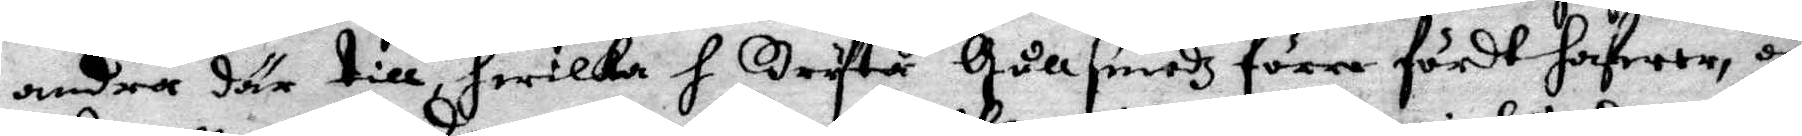andra där till, hwilka H Bryta Gullsmedz förre fördt hafwer, och
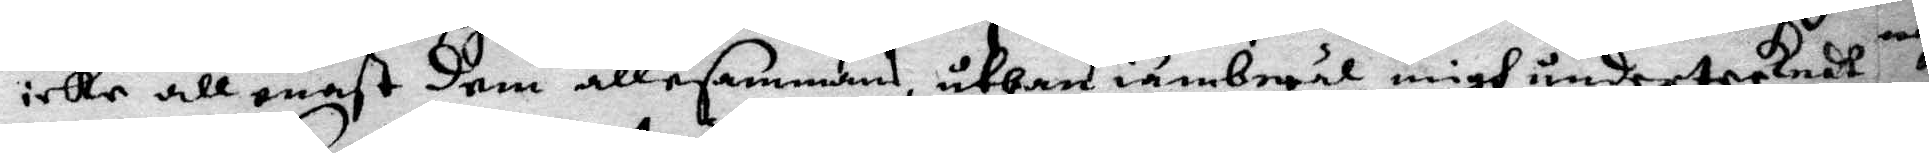icke allenast dem allesammans, uthan iämbwäl migh undertecknadt
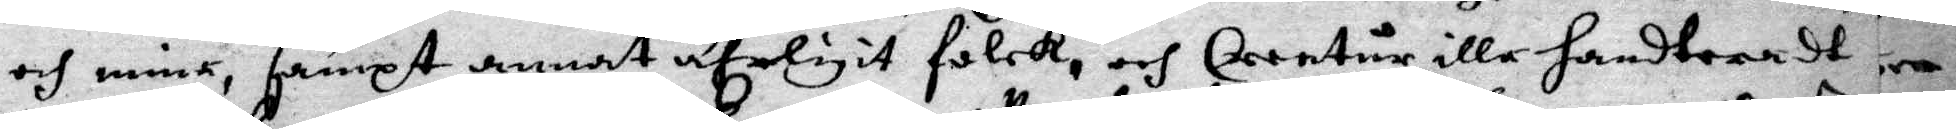och mine, sampt annat ufeligt folck, och Creatur illa handteradt
